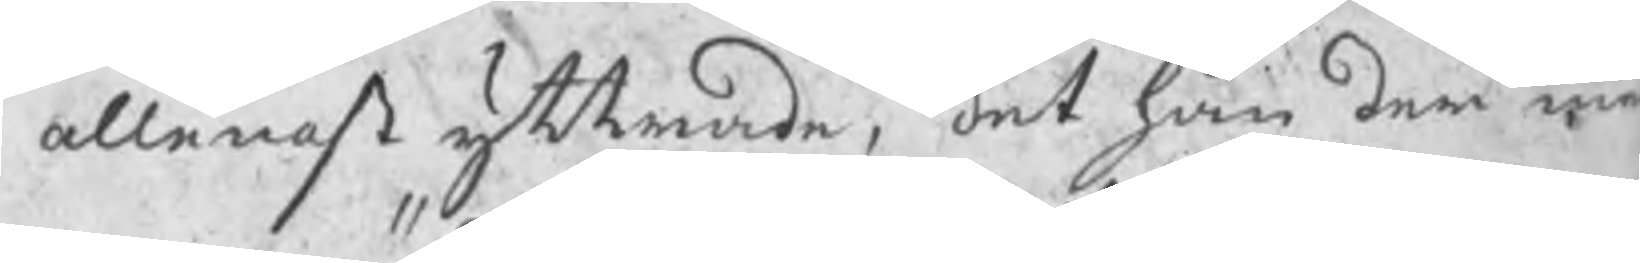allenast yttrade, det han der med
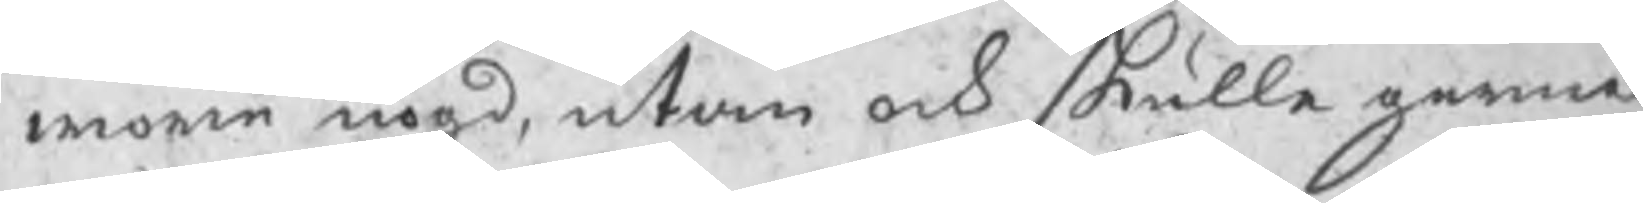wore nögd, utan ock skulle gerna
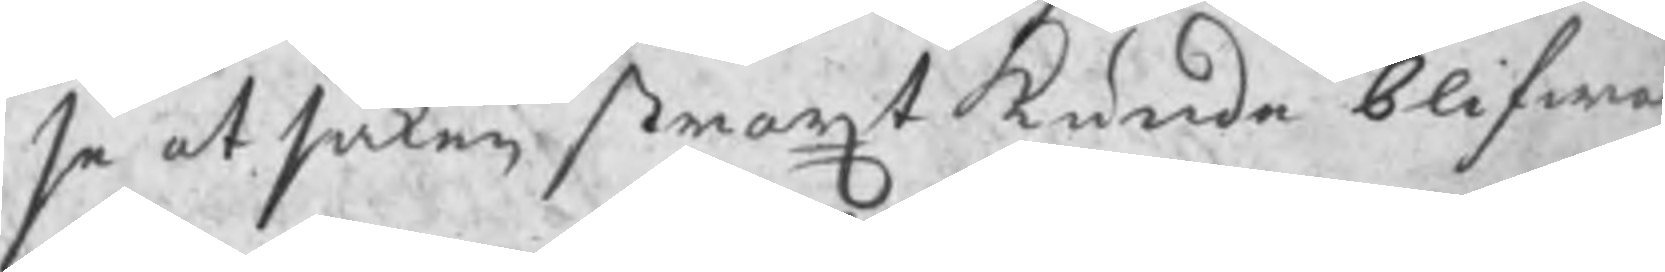se at saken straxt kunde blifwe
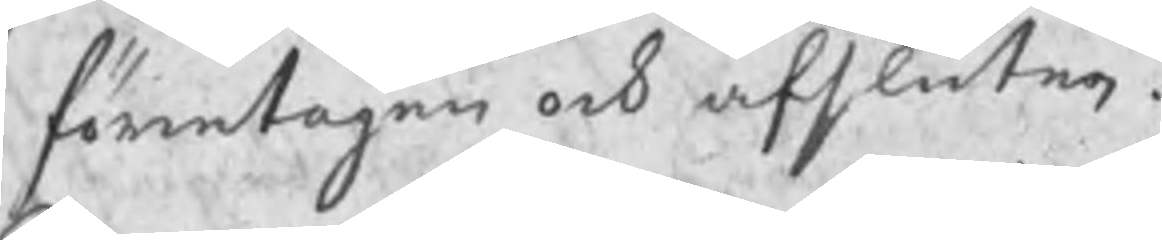företagen och afsluten.
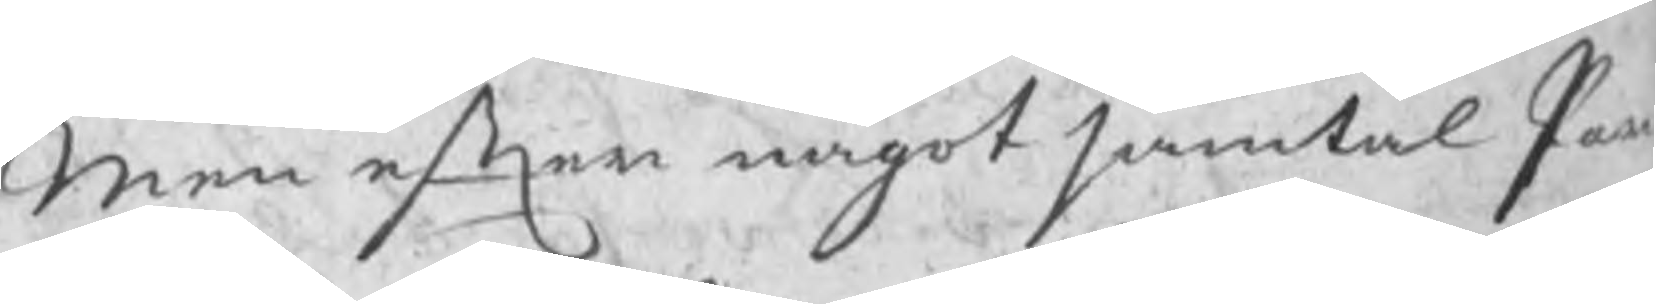Men efter något samtal Par
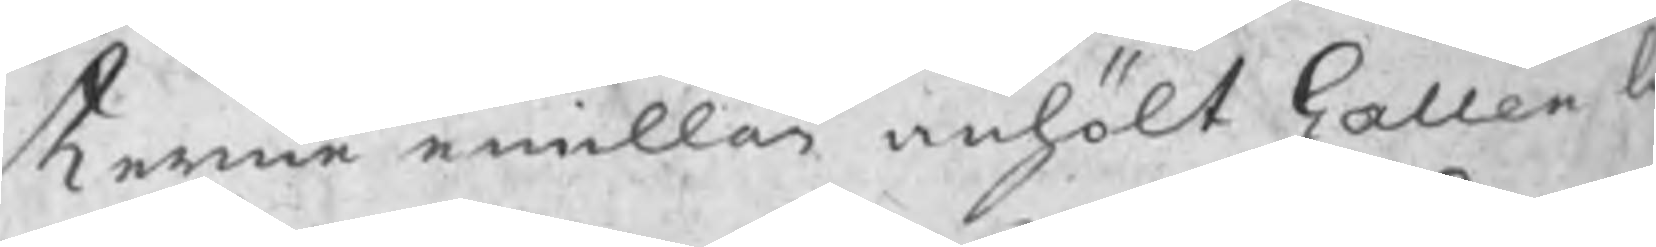terne emillan anhölt Gallen l
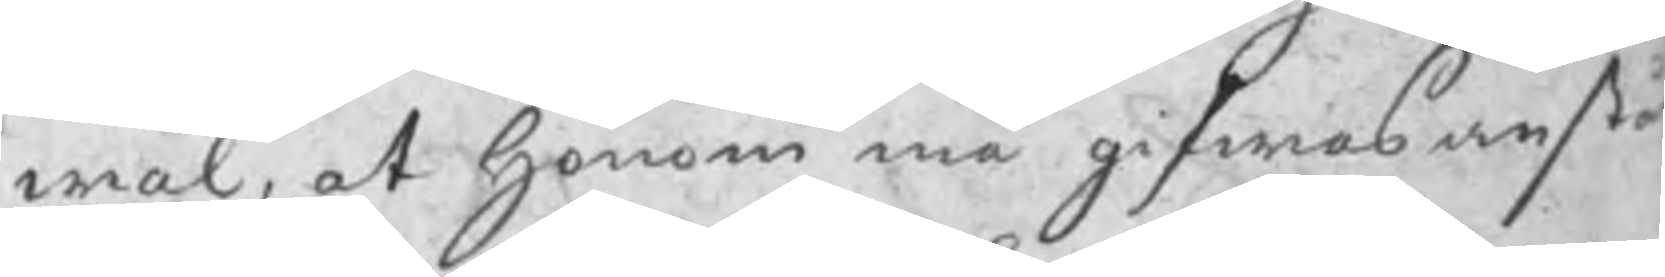wäl, at honom må gifwas anst
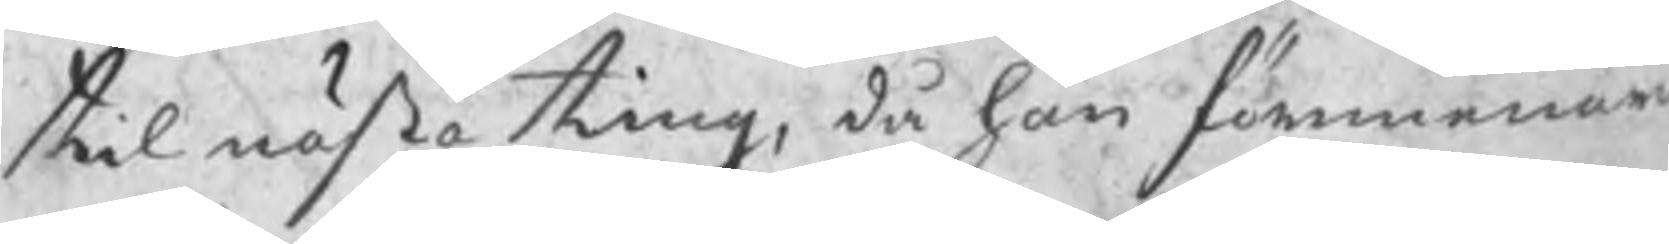til nästa ting, då han förmenar
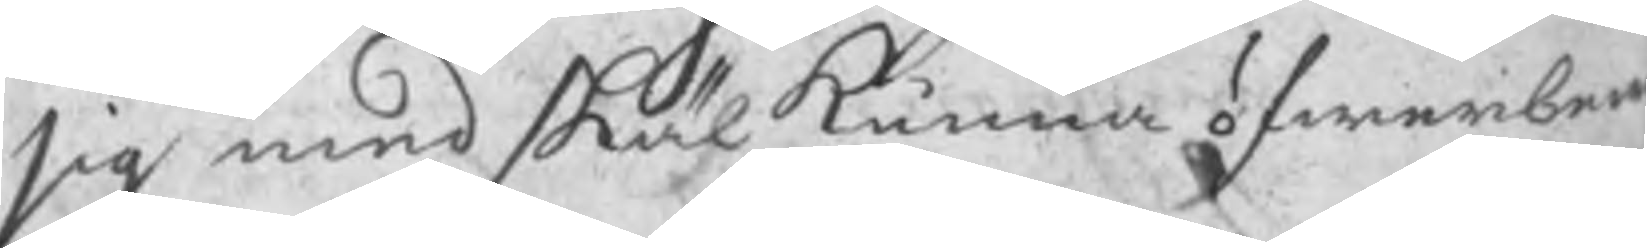sig med skäl kunna öfwerbew
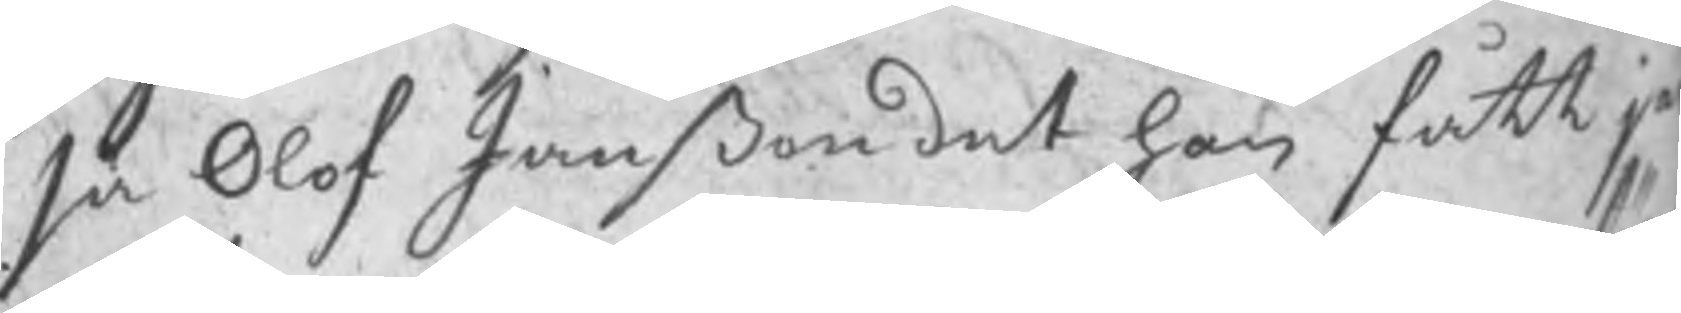sa Olof Janßon det han fått je
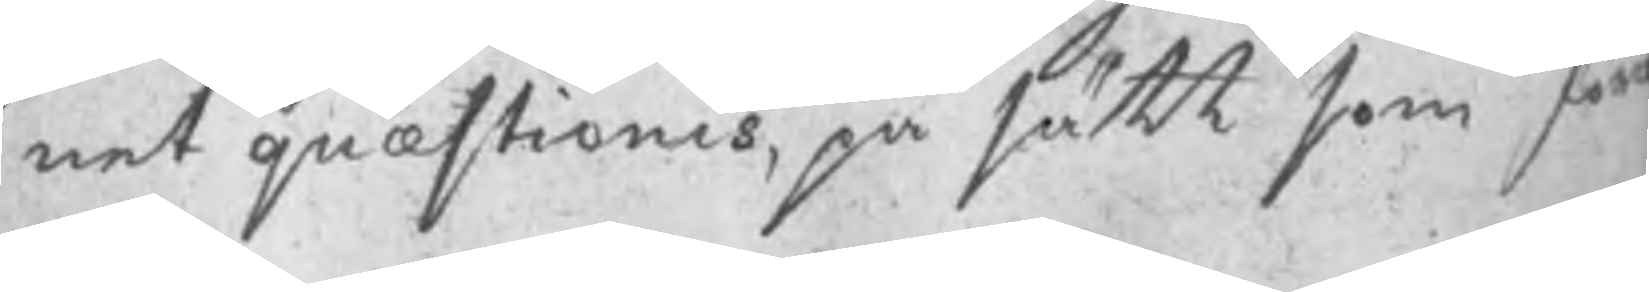net quæstionis, på sätt som för
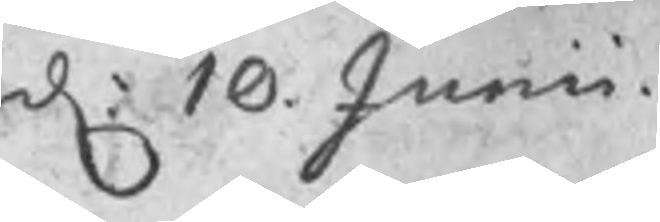d: 10 Junii
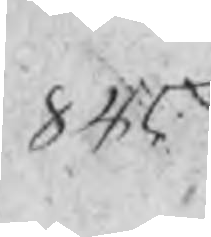845
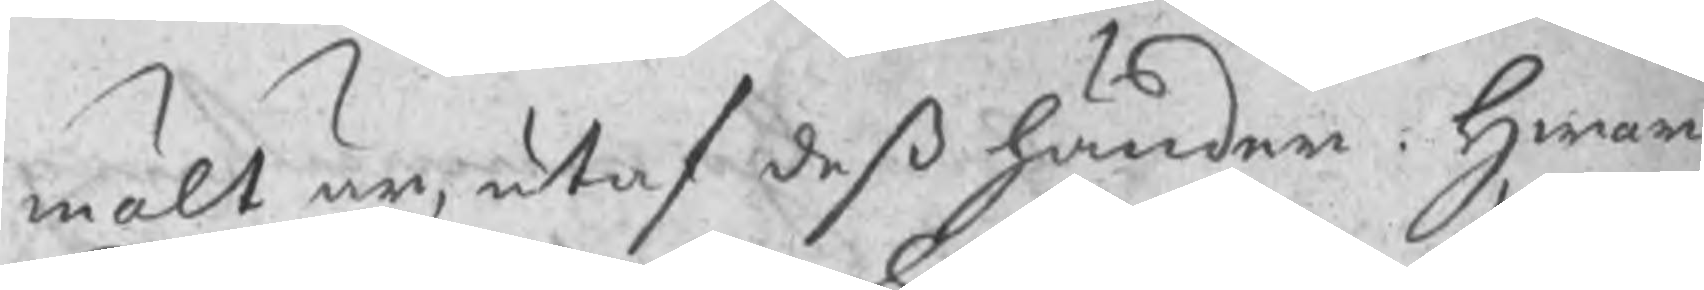mält är, utaf deß händer. Hwar¬
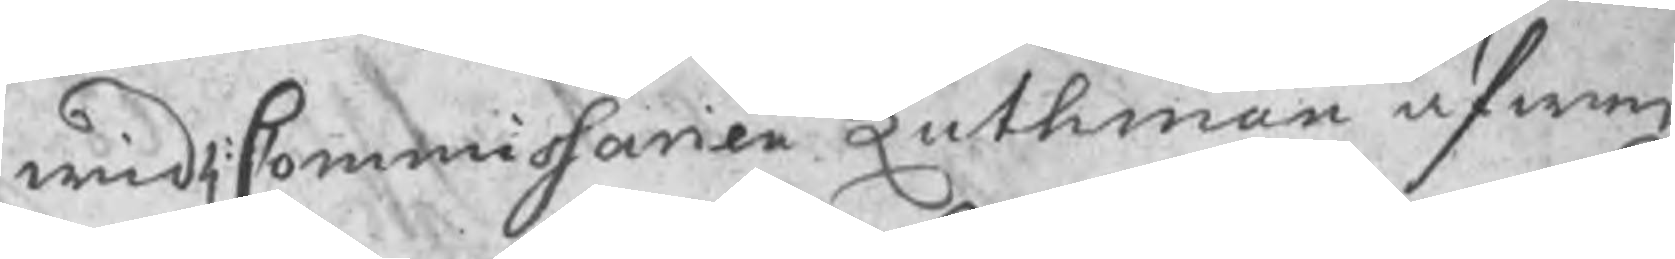wid H: Commissarien Luthman äfwen
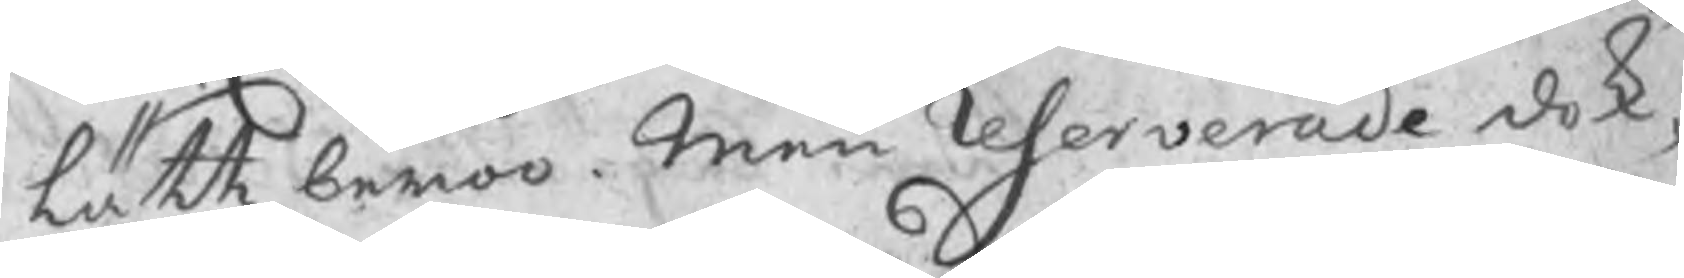lätt beroo. Men Reserverade dok,
